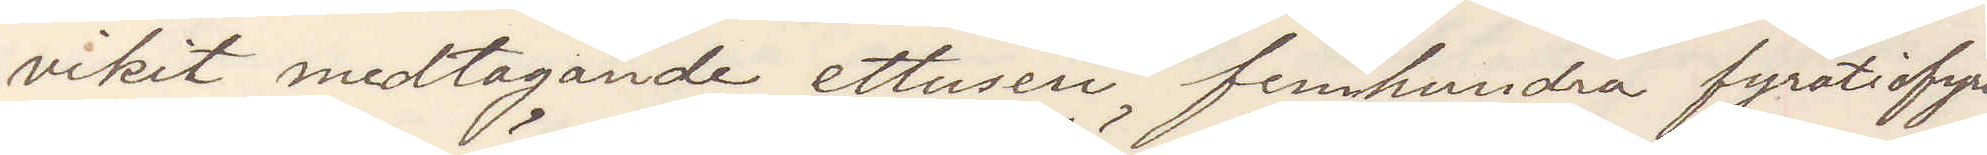vikit medtagande ettusen femhundra fyrtiofyra
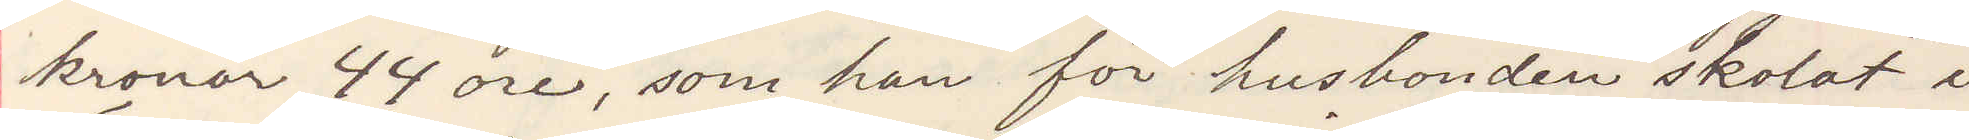kronor 44 öre, som han för husbonden skolat i
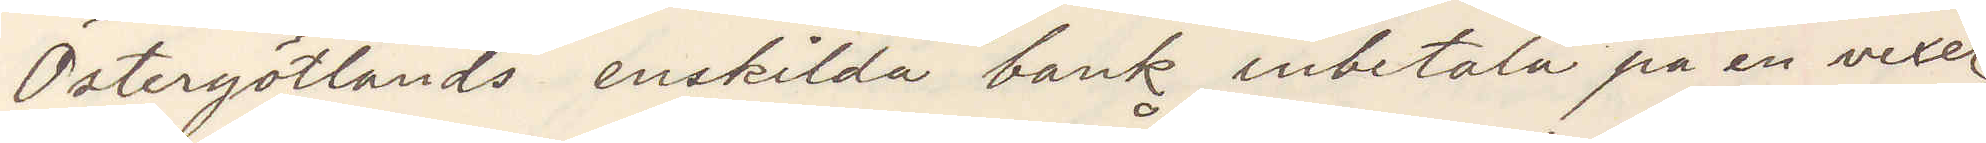Östergötlands enskilda bank inbetala på en vexel.
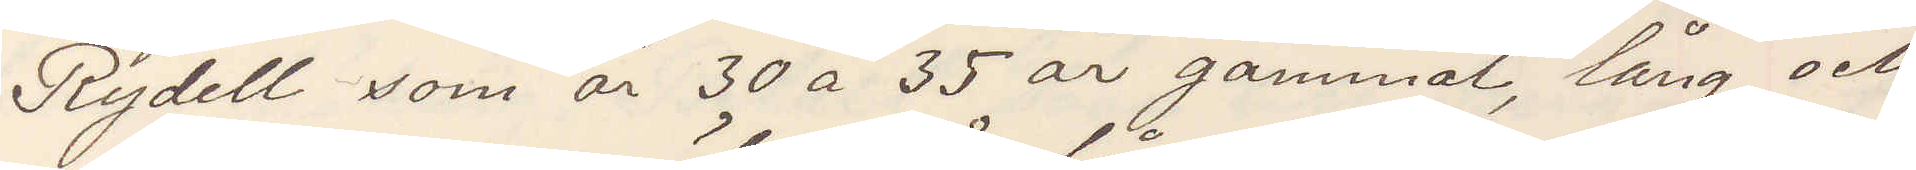Rydell som är 30 a 35 år gammal lång och
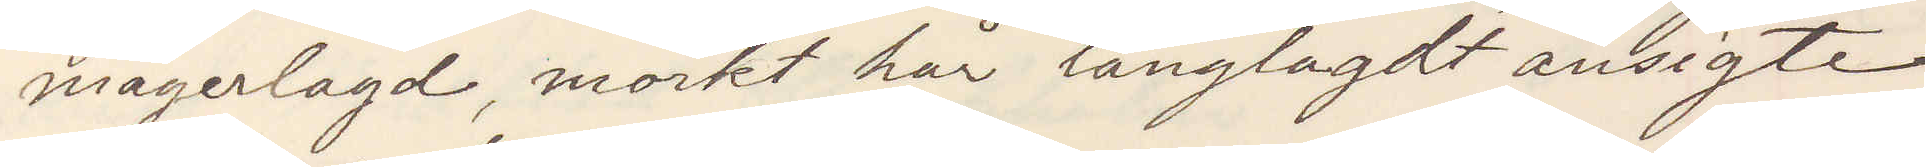magerlagd mörkt hår långlagdt ansigte
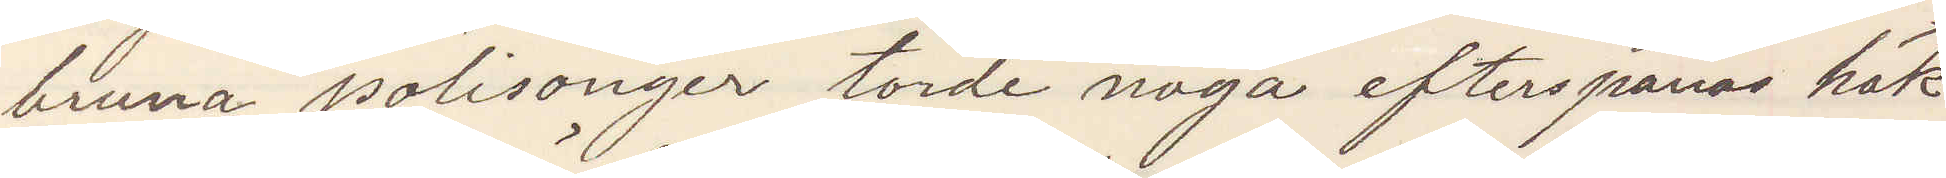bruna polisonger torde noga efterspanas häk¬
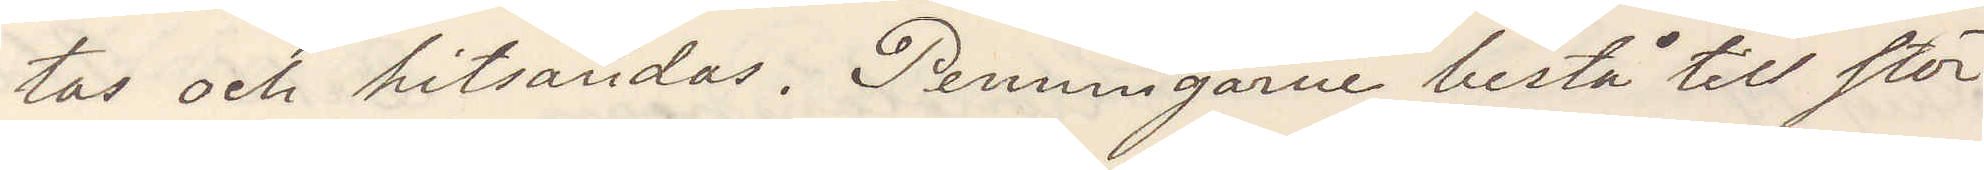tas och hitsändas. Penningarne bestå till stör¬
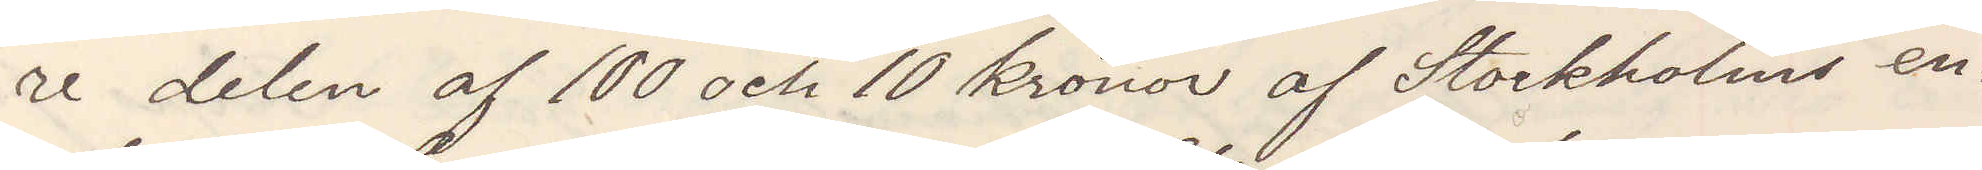re delen af 100 och 10 kronor af Stockholms en¬
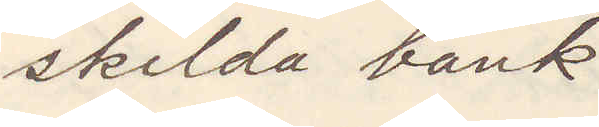skilda bank.
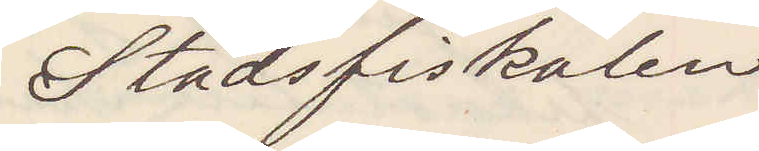Stadsfiskalen
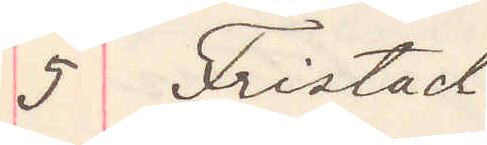5 Fristad
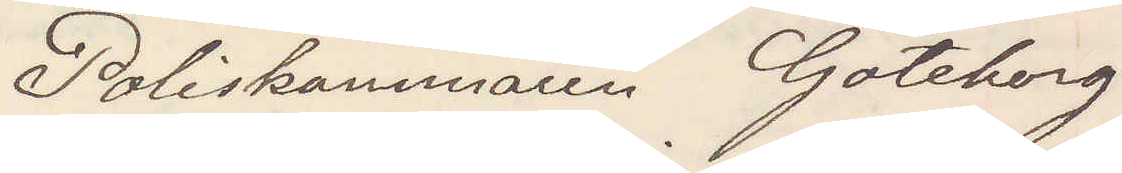Poliskammaren Göteborg
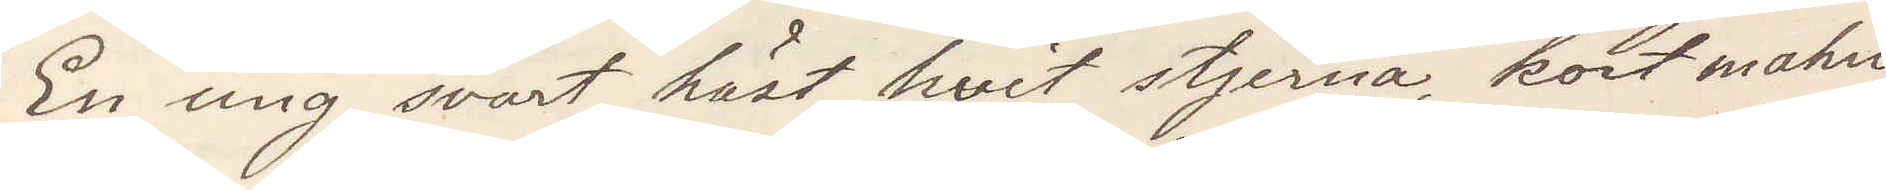En ung svart häst, hvit stjerna, kort mahn,
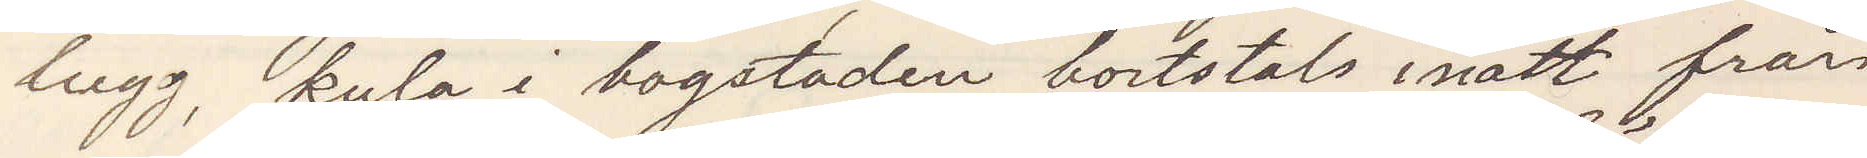lugg, kula i bogstaden bortstals inatt från
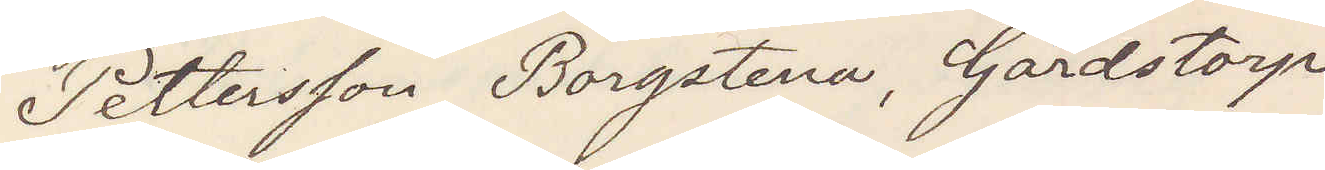Pettersson Borgstena, Gårdstorp
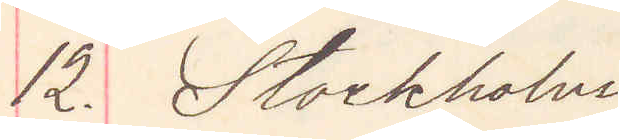12. Stockholm
